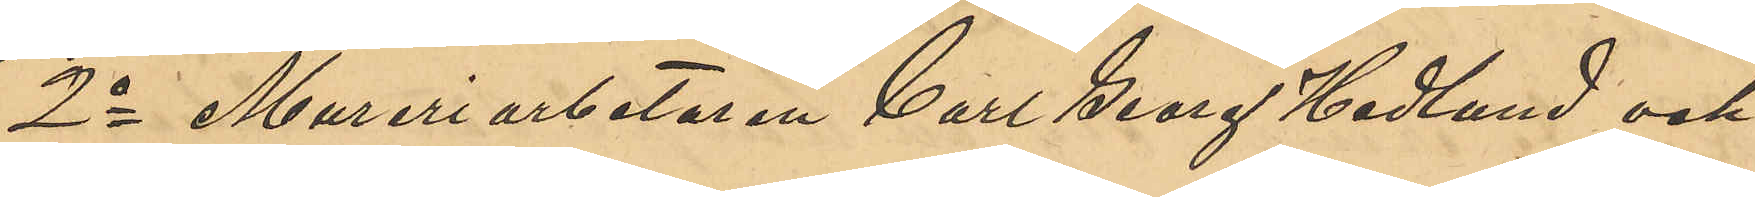2o Mureriarbetaren Carl Georg Hedlund och
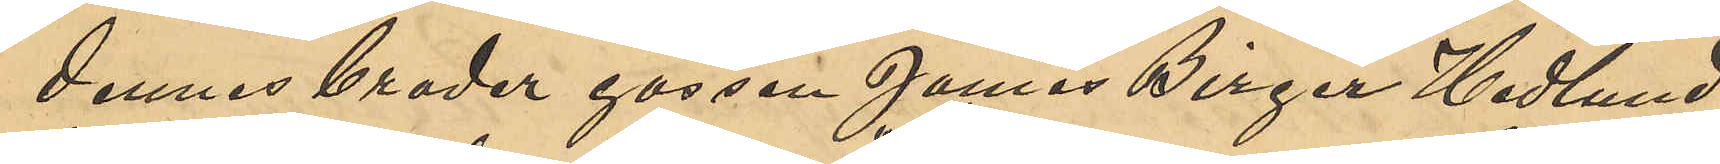dennes broder gossen James Birger Hedlund,
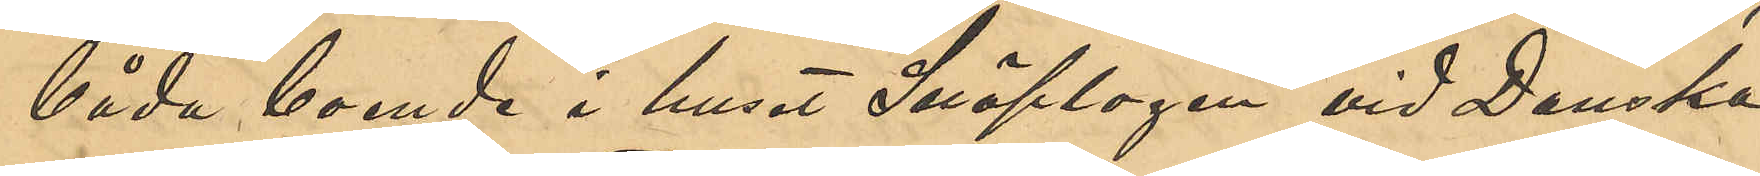båda boende i huset "Snöplogen" vid Danska
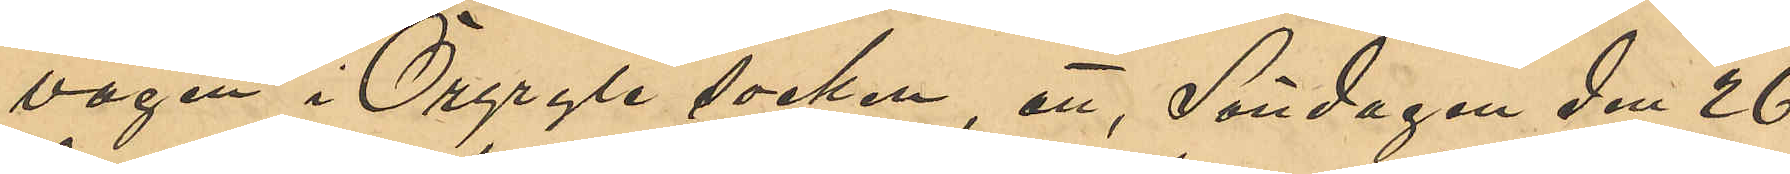vägen i Örgryte socken, att, Söndagen den 26
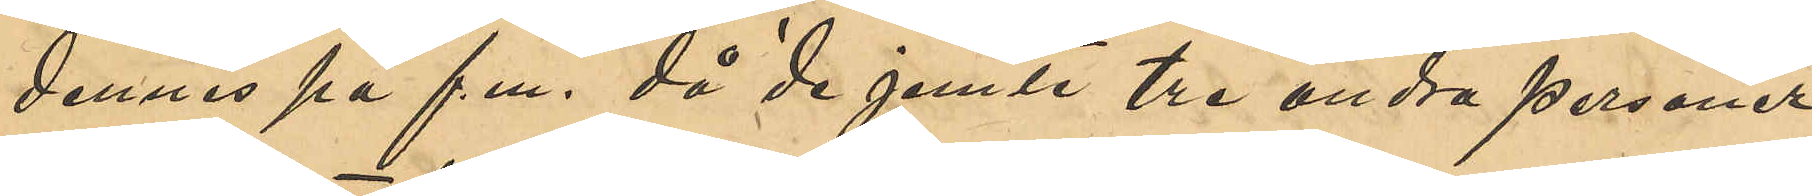dennes på f.m. då de jemte tre andra personer
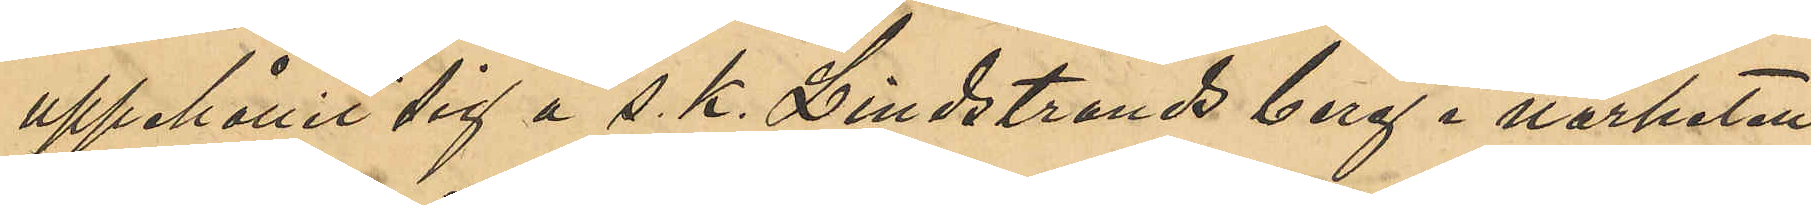uppehållit sig å s. k. Lindstrands berg i närheten
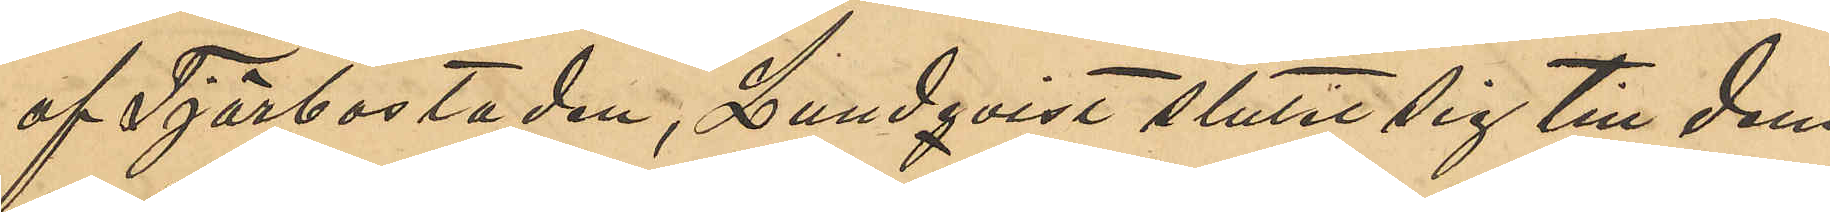af Tjörbostaden, Lundqvist sluter sig till dem
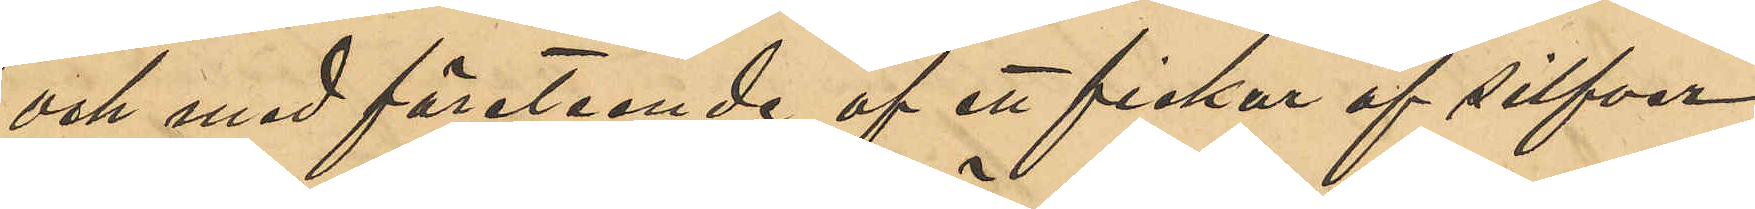och med företeende af ett fickur af silfver
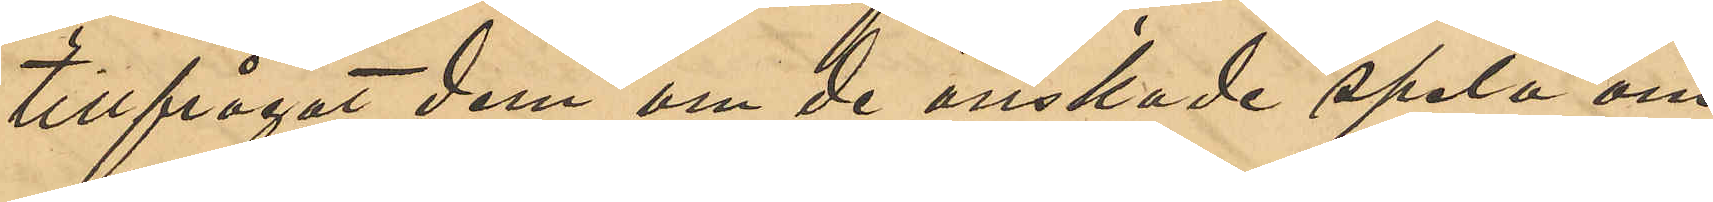tillfrågat dem om de önskade spela om
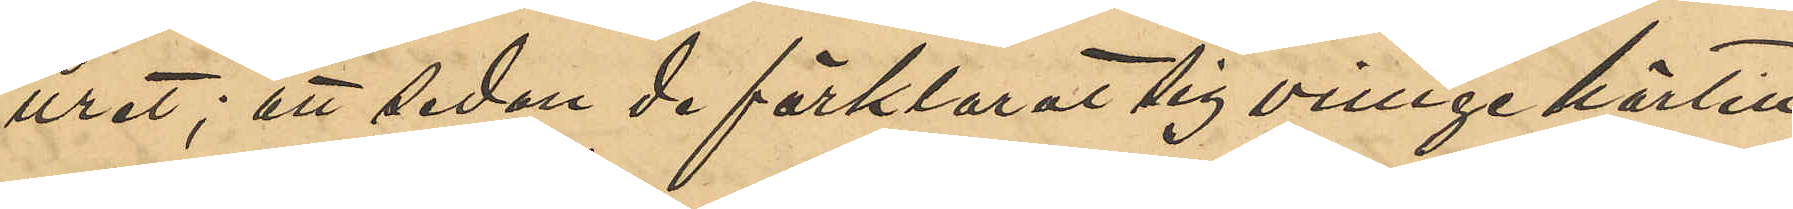uret; att sedan de förklarat sig ovilliga härtill
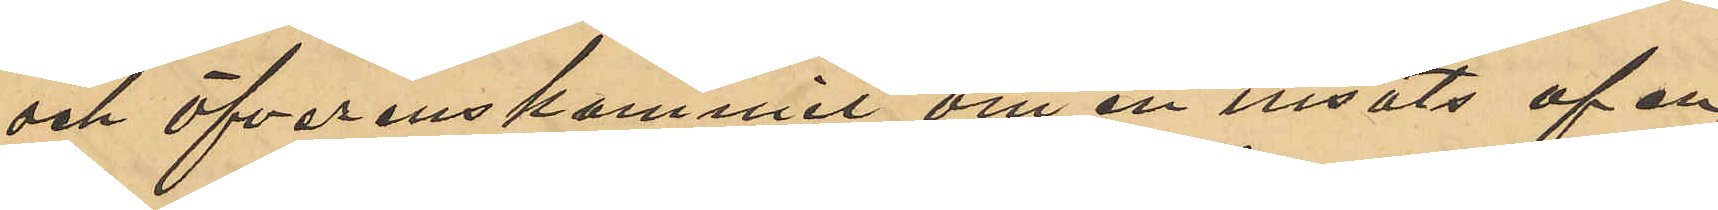och öfverenskommit om en insats af en
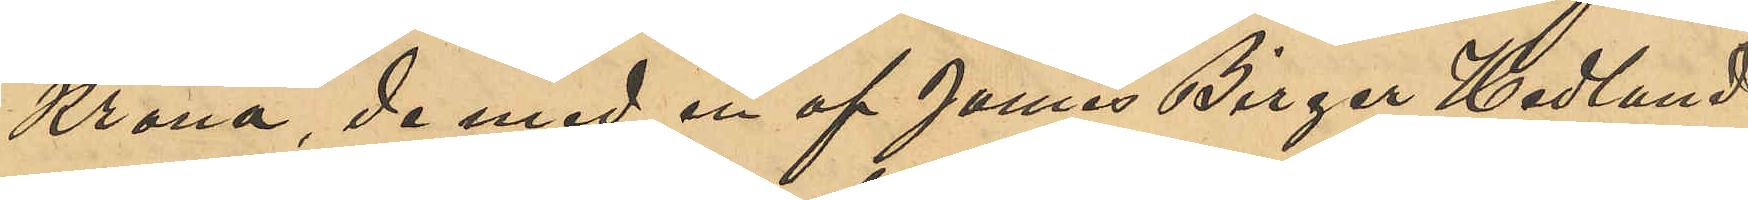Krona, de med en af James Birger Hedlund
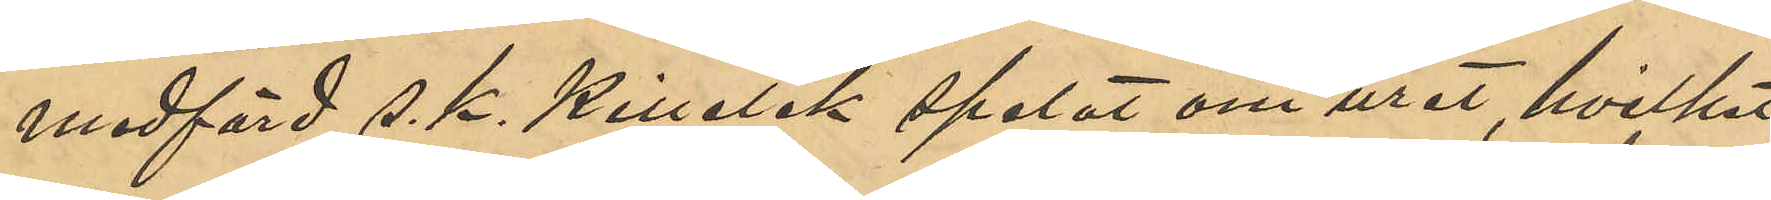medförd s. k. Killelek spelat om uret, hvilket
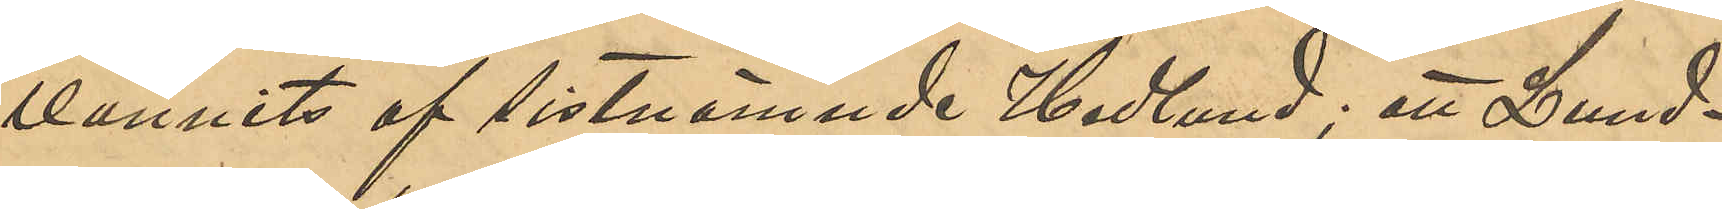vunnits af sistnämnde Hedlund; att Lund¬
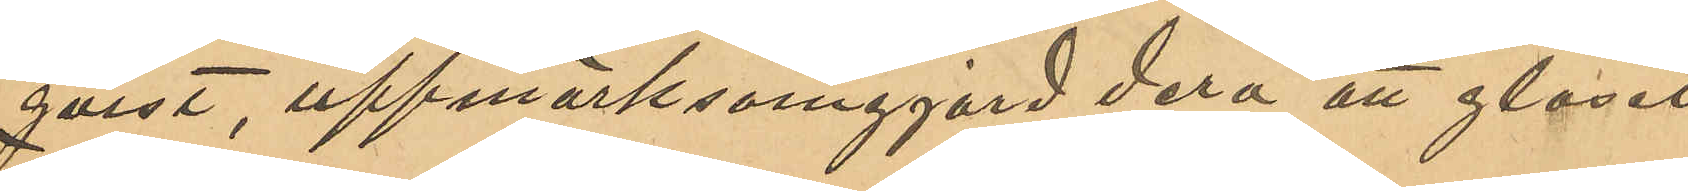qvist, uppmärksamgjord derå att glaset
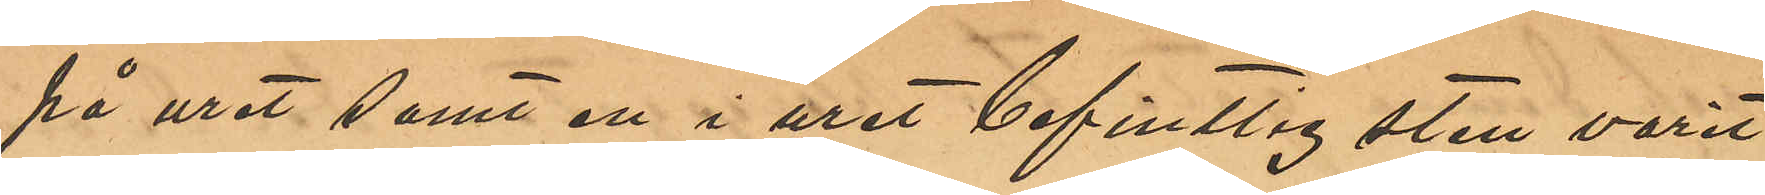på uret samt en i uret befintlig sten varit
